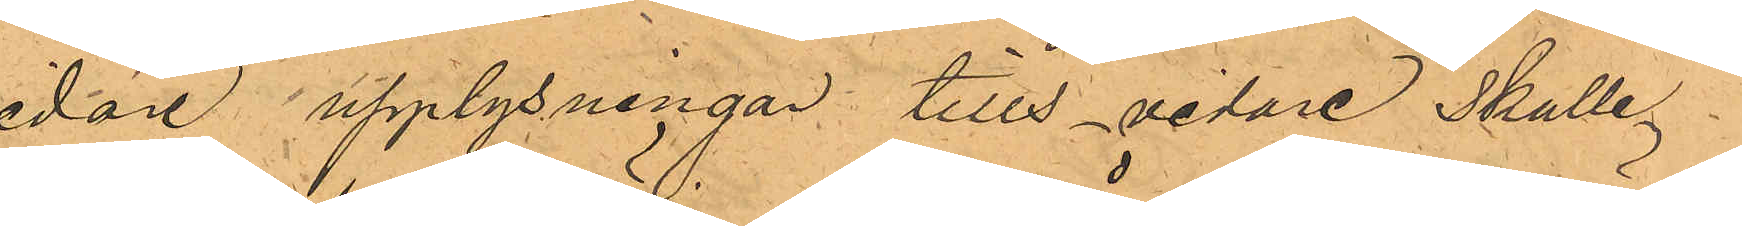vidare upplysningar tills vidare skulle
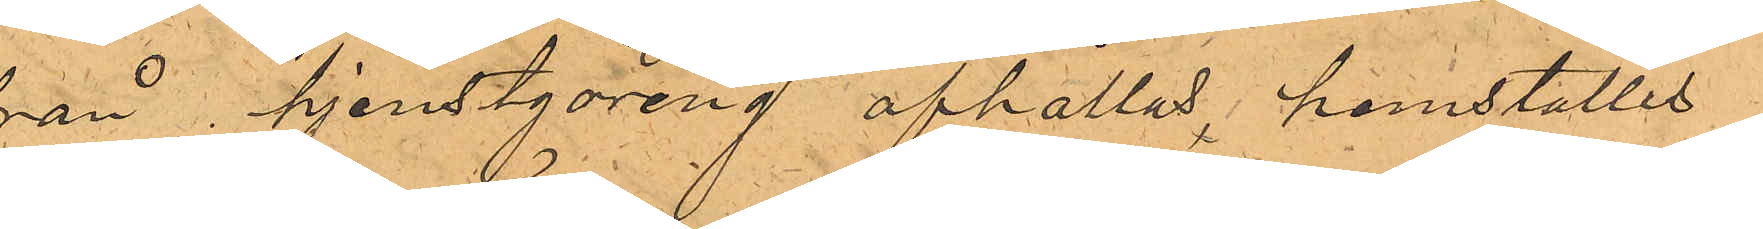från tjenstgöreng afhållas, hemställes
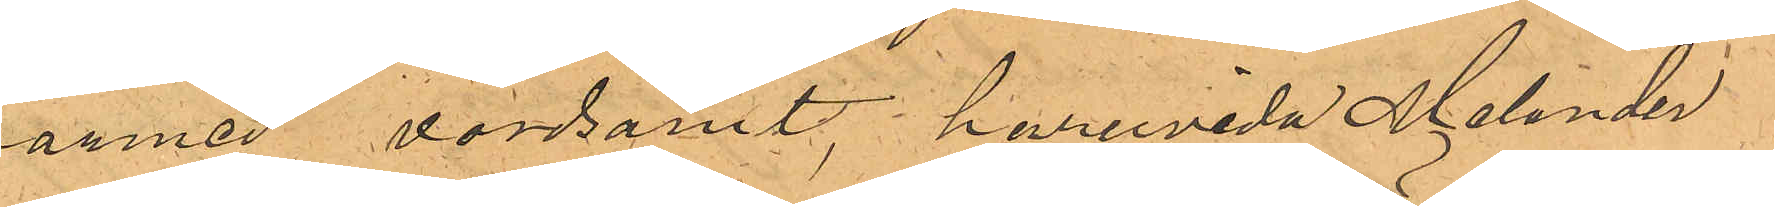härmed vördsamt, huruvida Melander
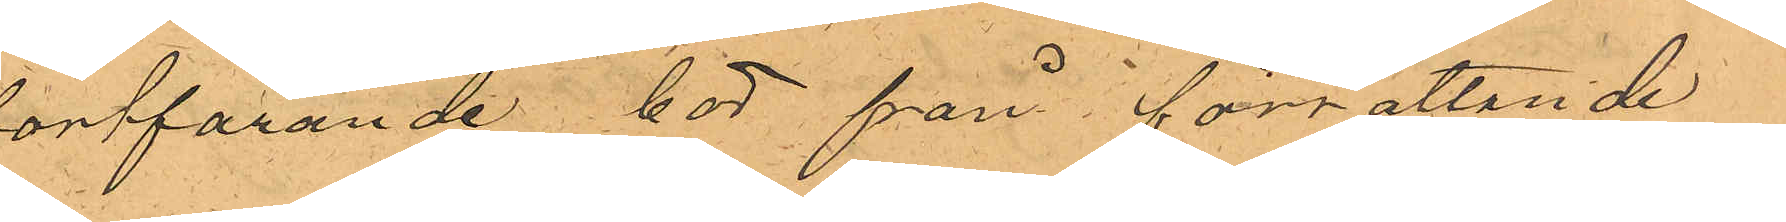fortfarande bör från förrättande
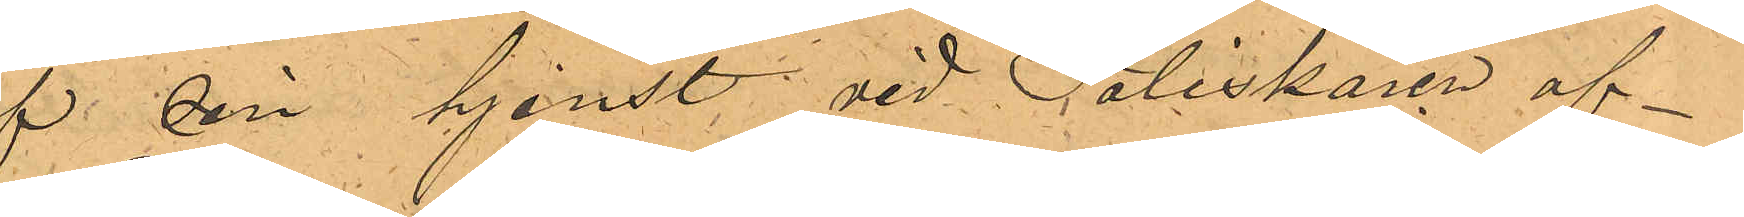af sin tjenst vid Poliskåren af¬
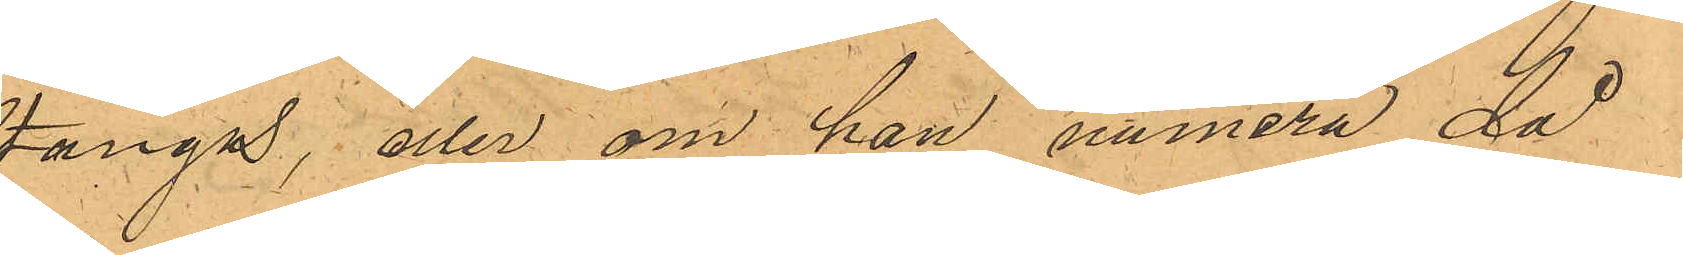stängas, eller om han numera då
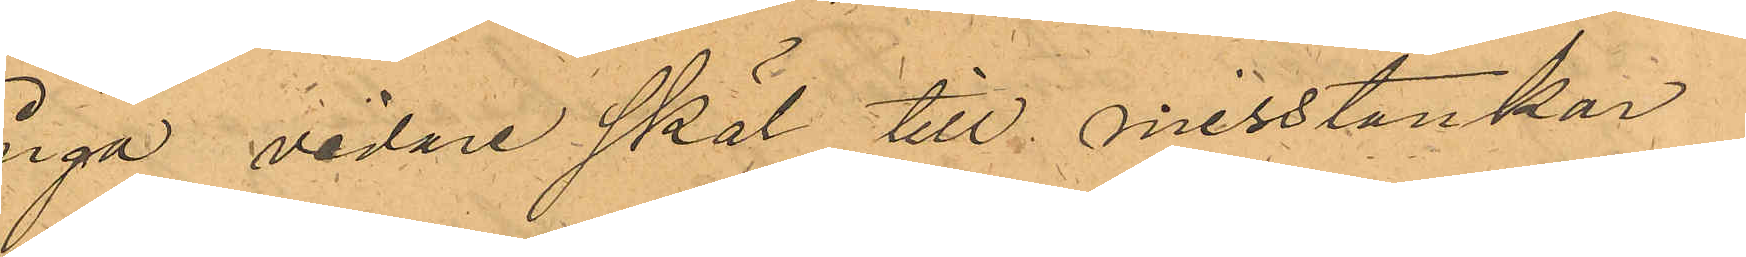inga vidare skäl till misstankar
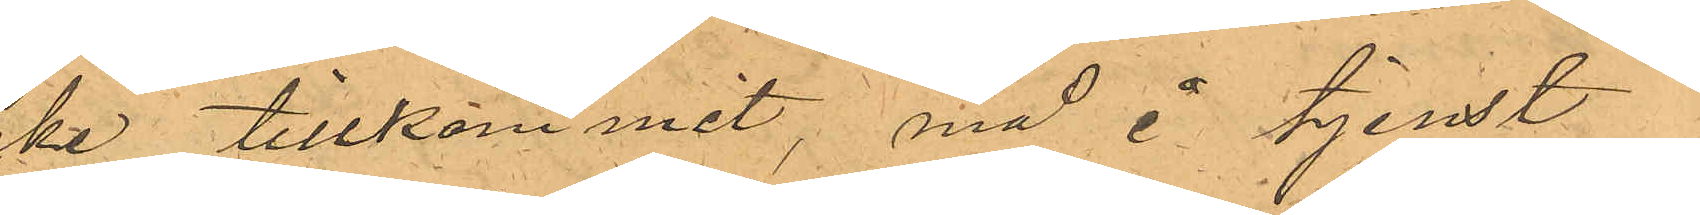icke tillkommit, må i tjenst¬
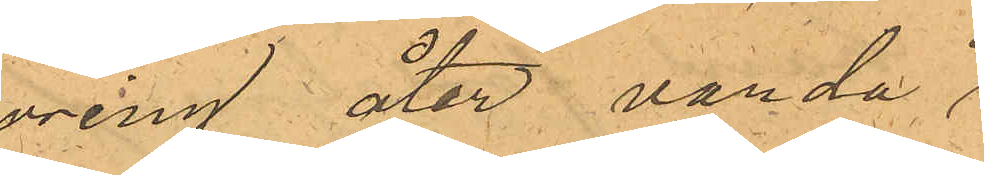göring åter varda
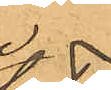in¬
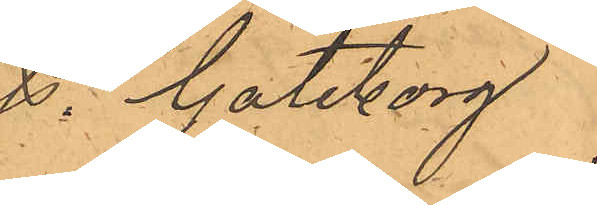satt. Göteborg
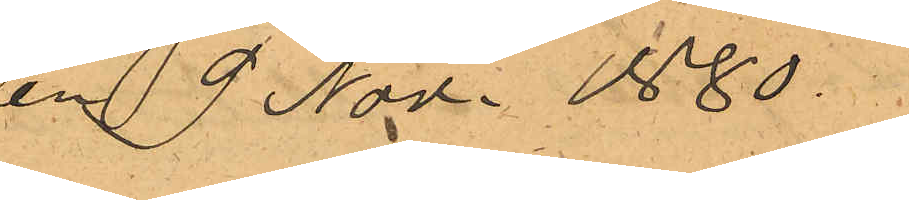den 9 Nov. 1880.
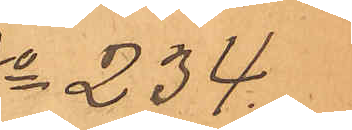No 234.
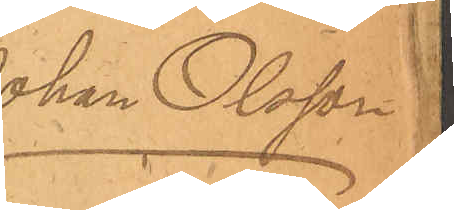Johan Olsson
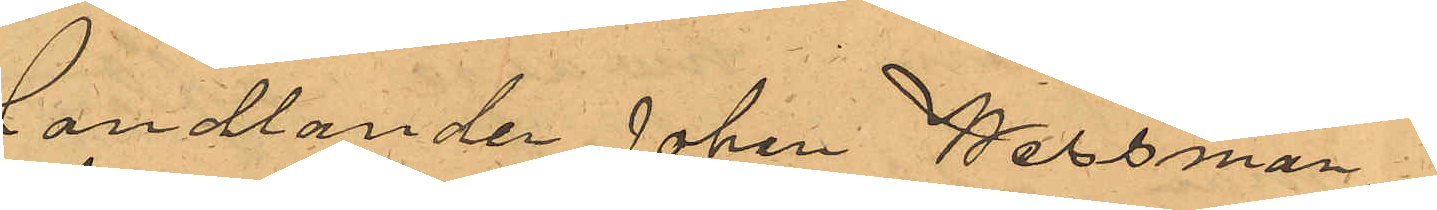Handlanden Johan Wessman,
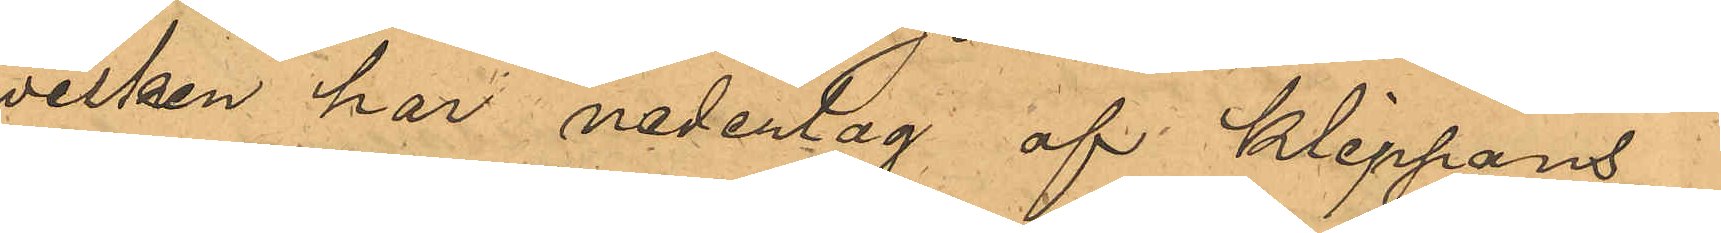hwilken har nederlag af Klippans
